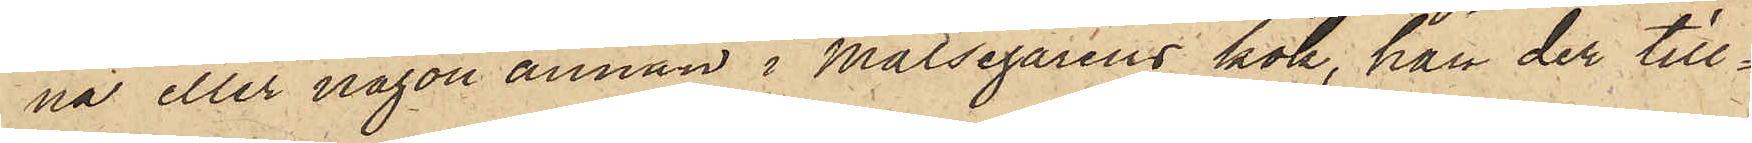na eller någon annan i Målsegarens kök, han der till¬
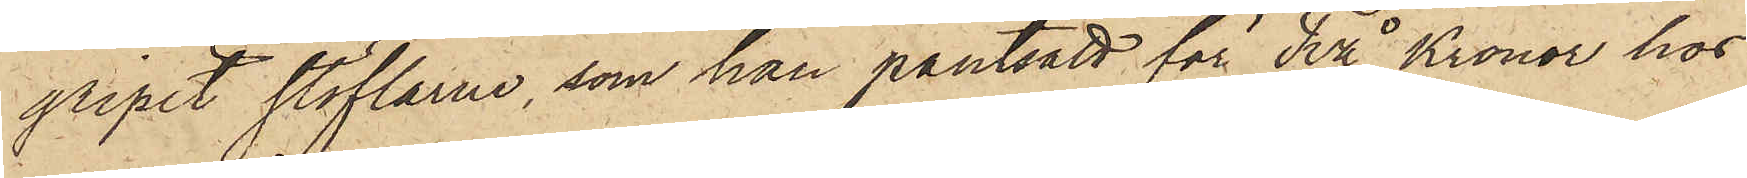gripit stöflarne, som han pantsatt för Två Kronor hos
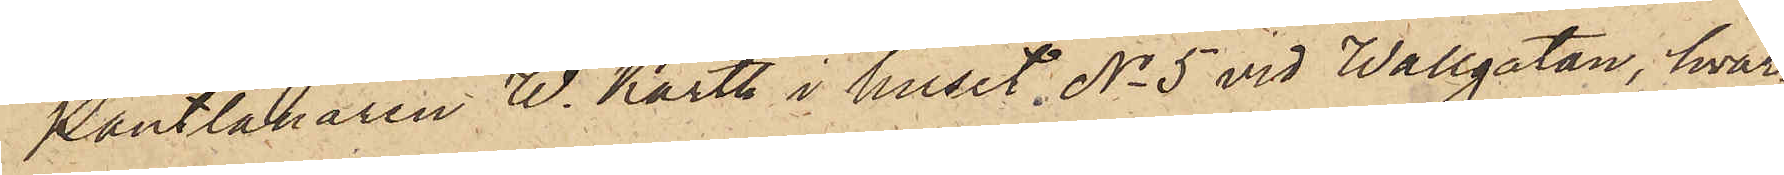Pantlånaren W. Karth i huset No 5 vid Wallgatan, hvar¬
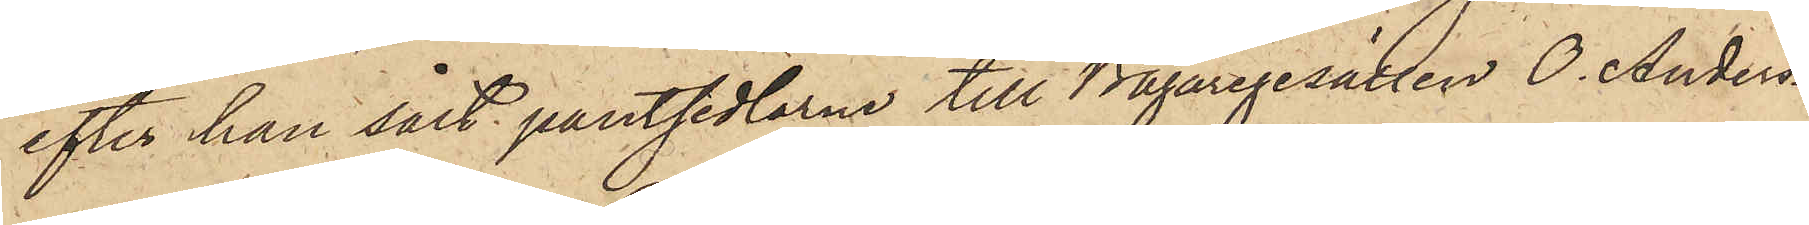efter han sålt pantsedlarne till Bagaregesällen O. Anders¬
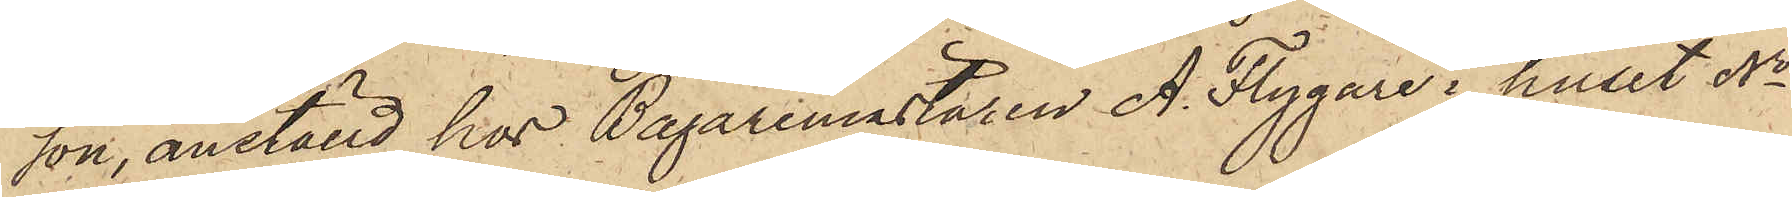son, anställd hos Bagaremästaren A. Flygare i huset No
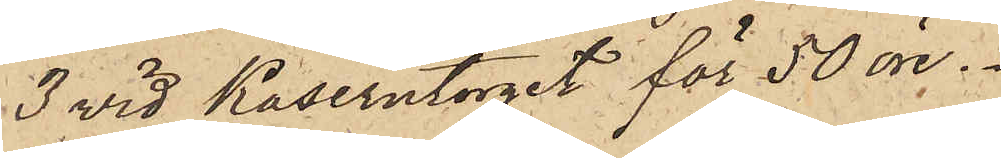3 vid Kaserntorget för 50 öre.
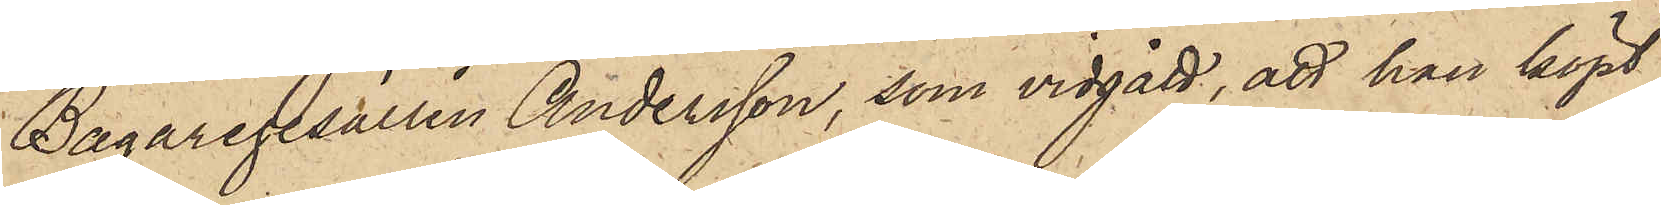Bagaregesällen Andersson, som vidgått, att han köpt
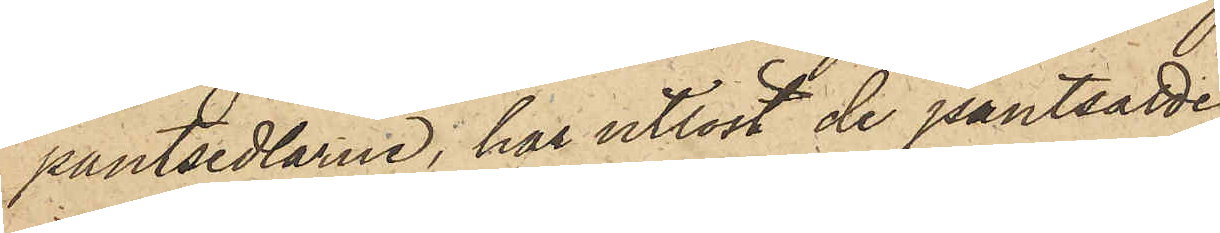pantsedlarne, har utlöst de pantsatte
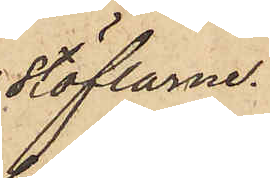stöflarne.
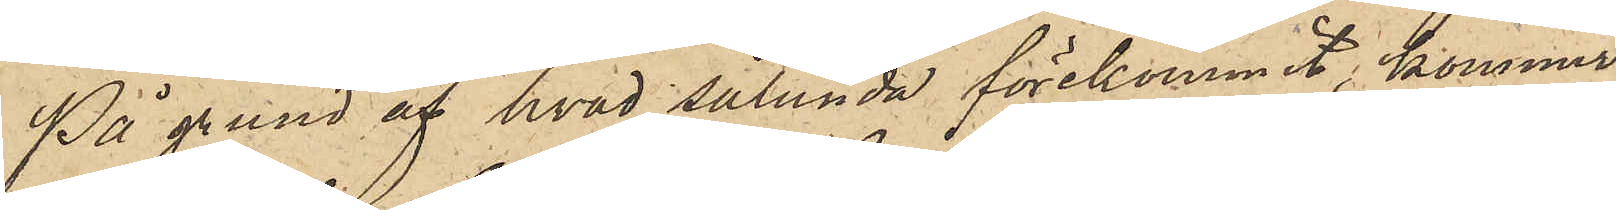På grund af hvad sålunda förekommit, kommer
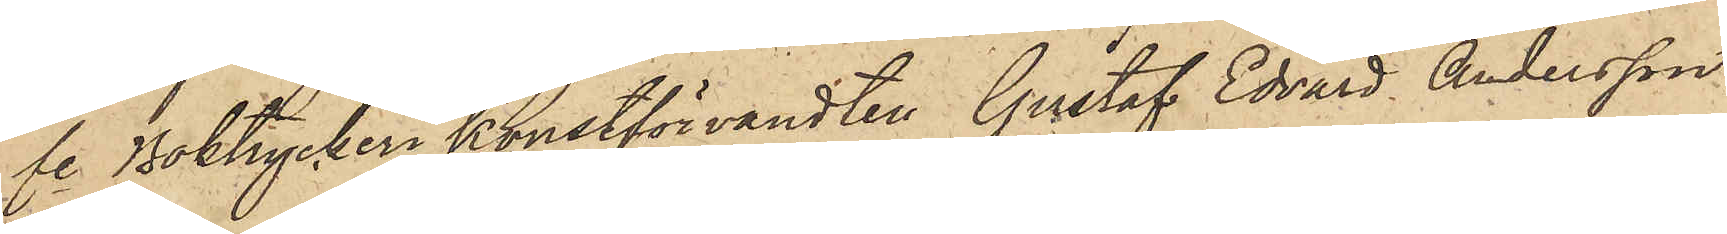fe Boktryckerikonstförvandten Gustaf Edvard Andersson
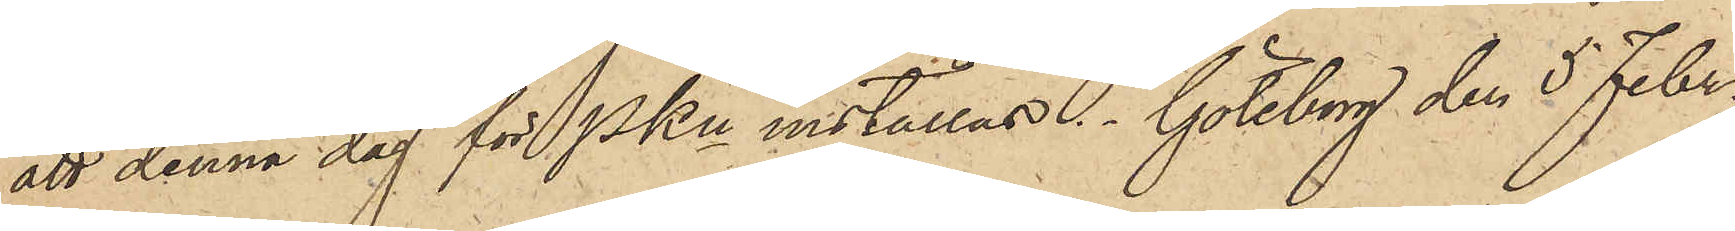att denna dag för PKn inställas. Göteborg den 5 Febr.
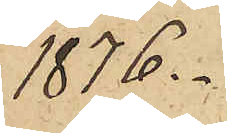1876.
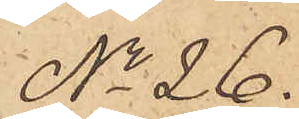No 26.
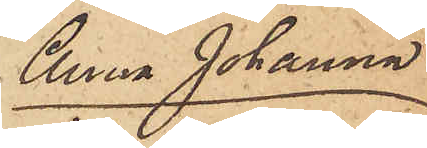Anna Johanna
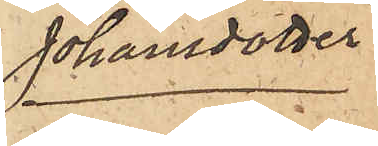Johansdotter.
